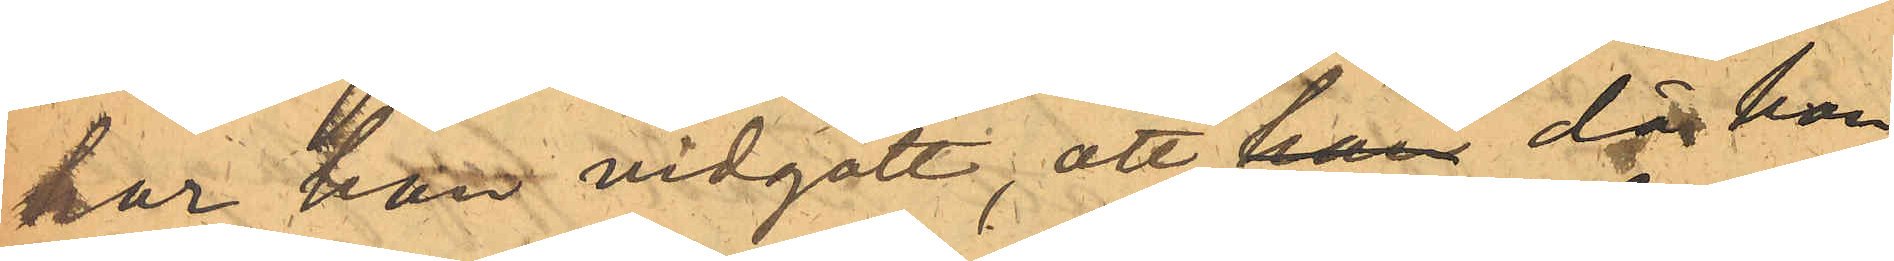har han vidgått, att han då han
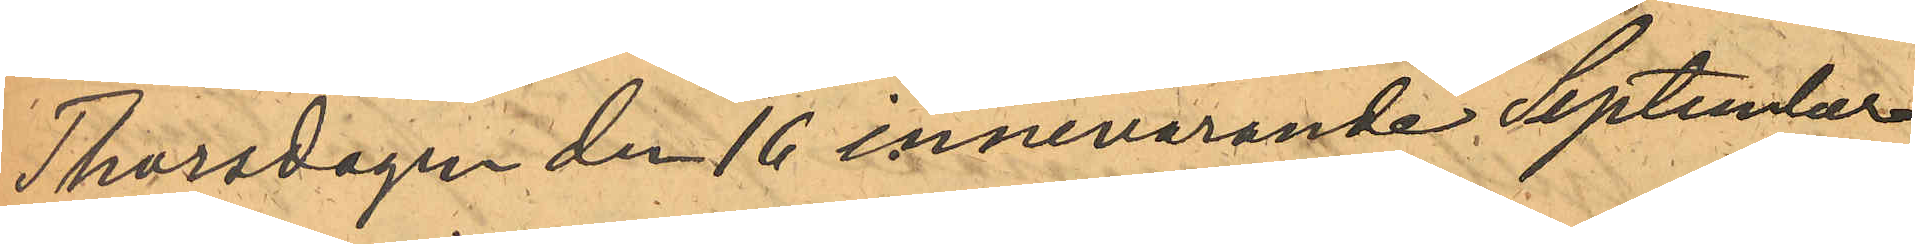Thorsdagen den 16 innevarande September
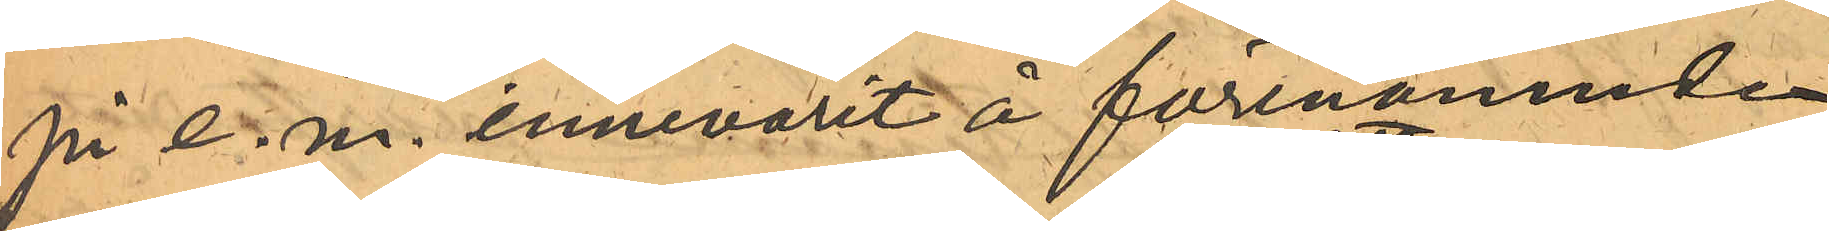på e. m. innevarit å förenämnde
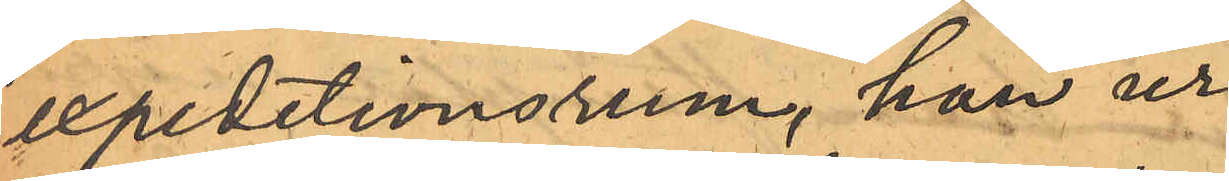expeditionsrum, han ur
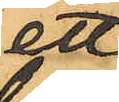ett
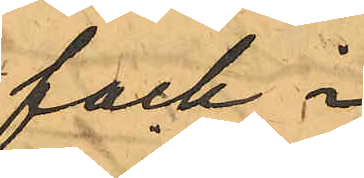fack i
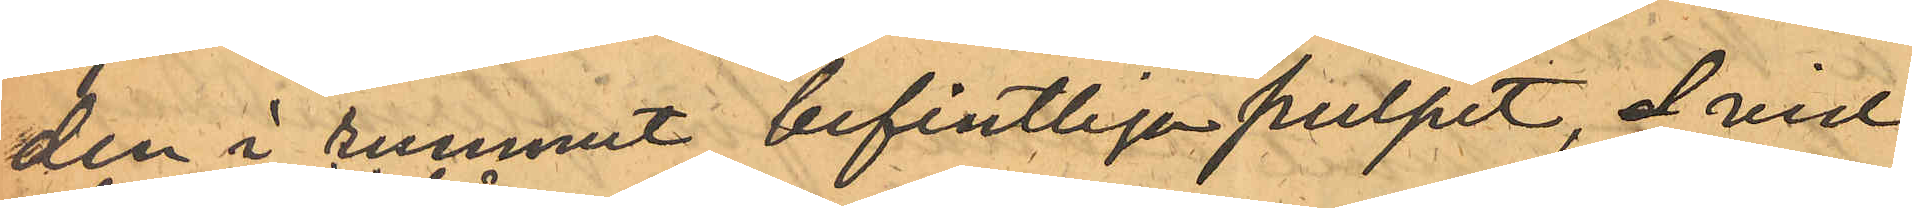den i rummet befintliga pulpet, d vid
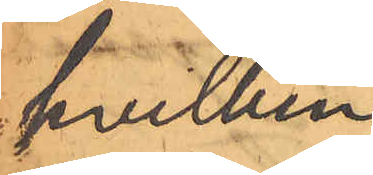hvilken
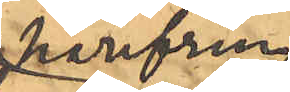härifrån
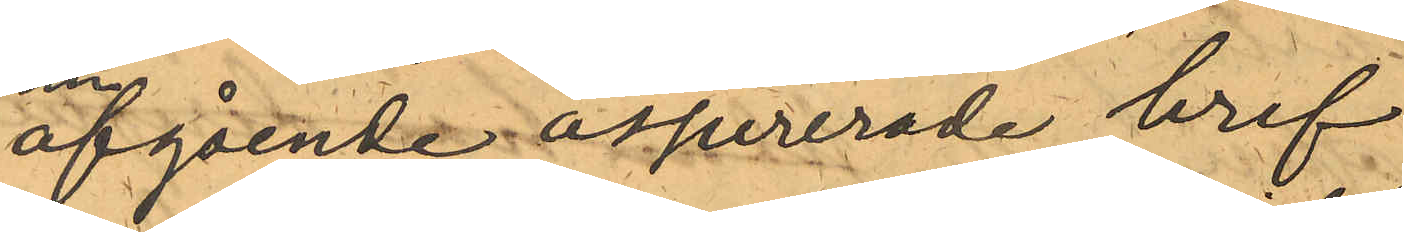afgående assurerade bref
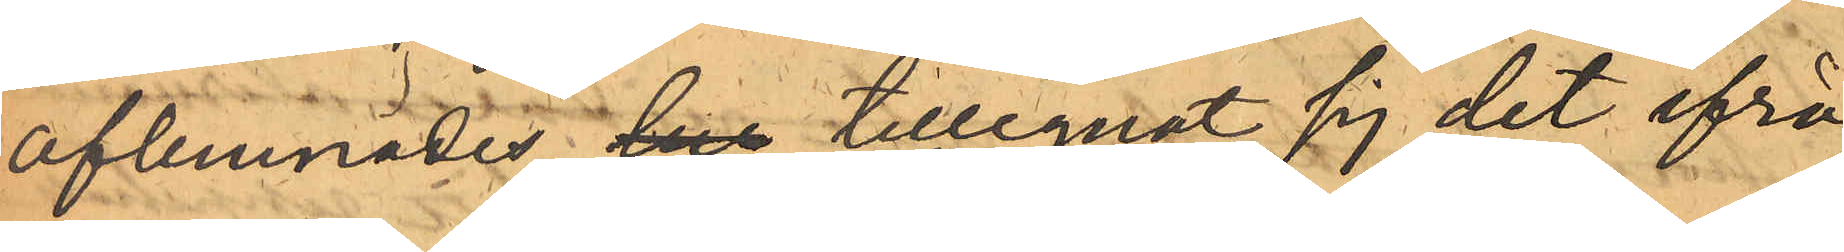aflemnades, her tillegnat sig det ifrå¬
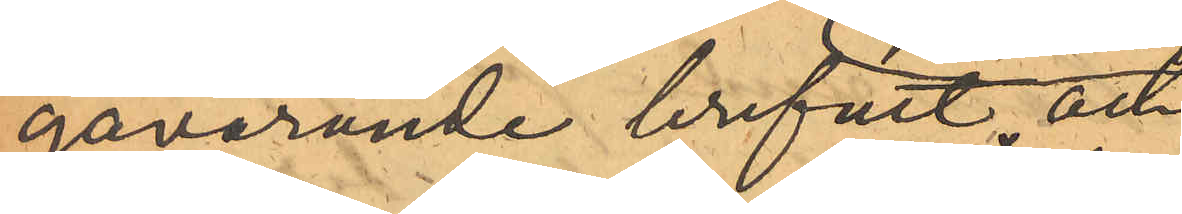gavarande brefvet och
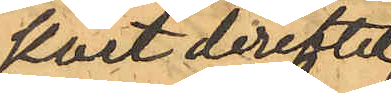kort derefter,
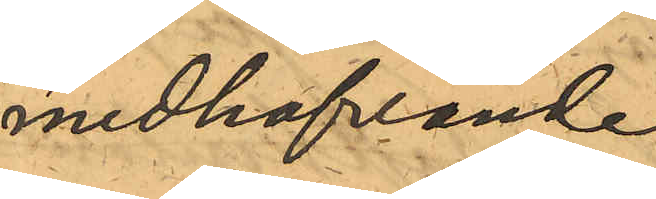medhafvande
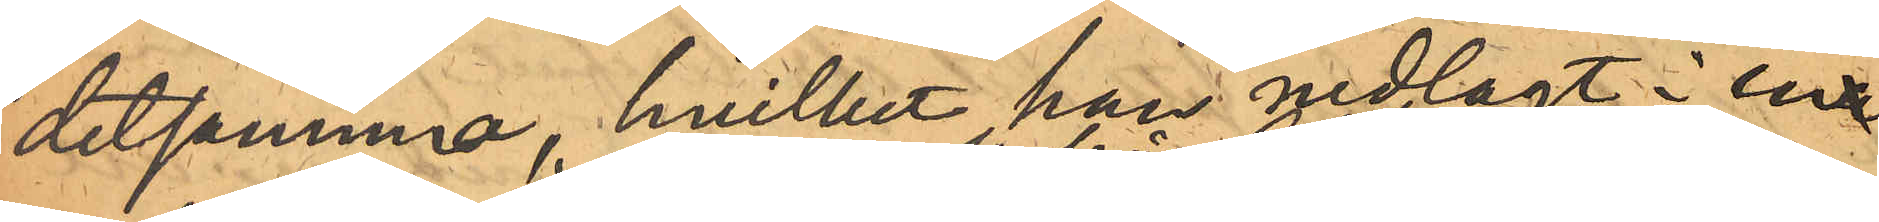detsamma, hvilket han nedlagt i ena
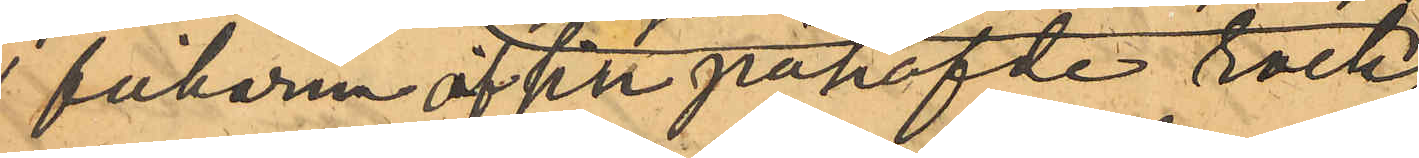af fickorna af sin påhafde rock;
